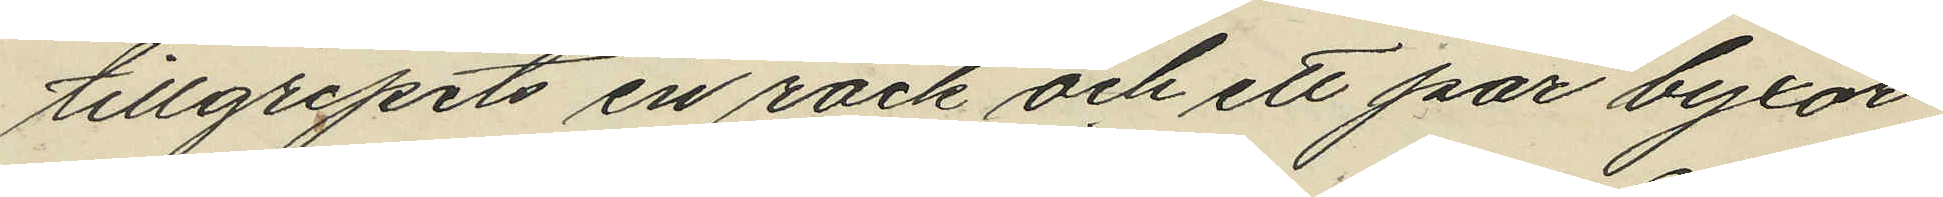tillgripits en rock och ett par byxor
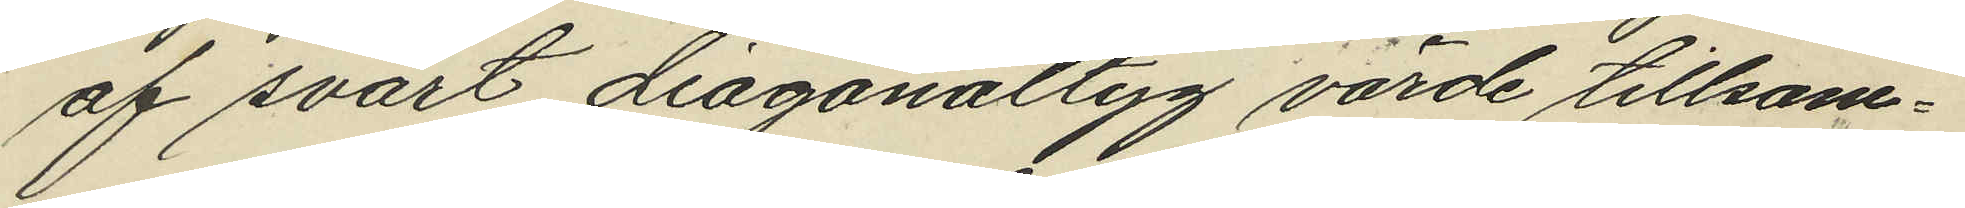af svart diagonaltyg värde tillsam¬
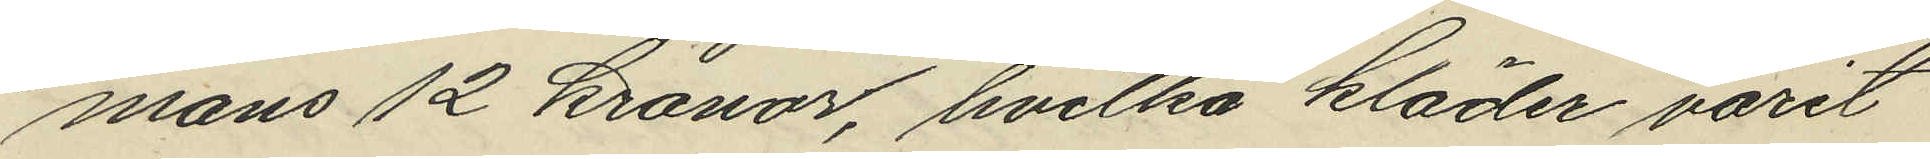mans 12 kronor, hvilka kläder varit
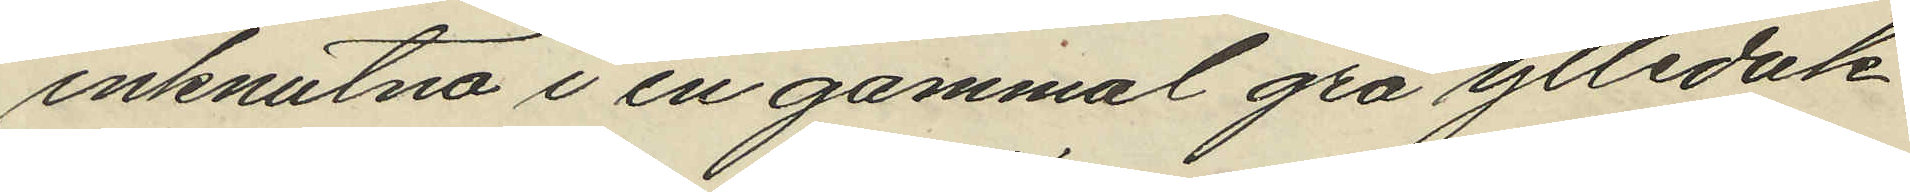inknutna i en gammal grå ylleduk
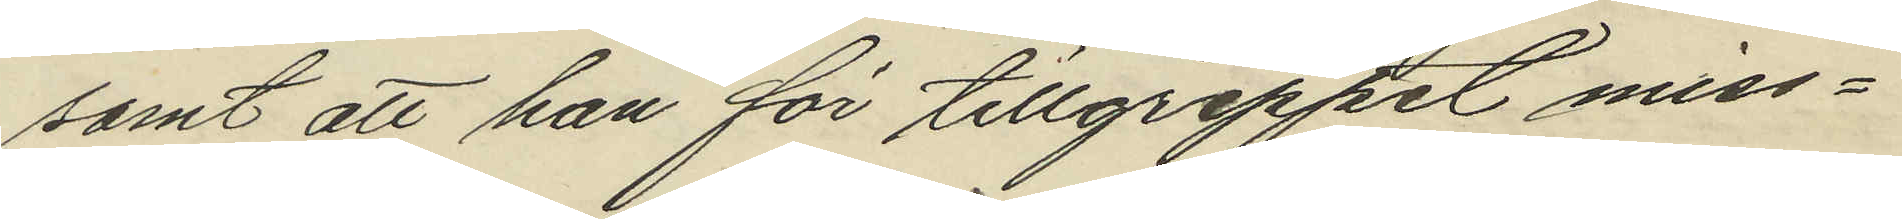samt att han för tillgreppet miss¬
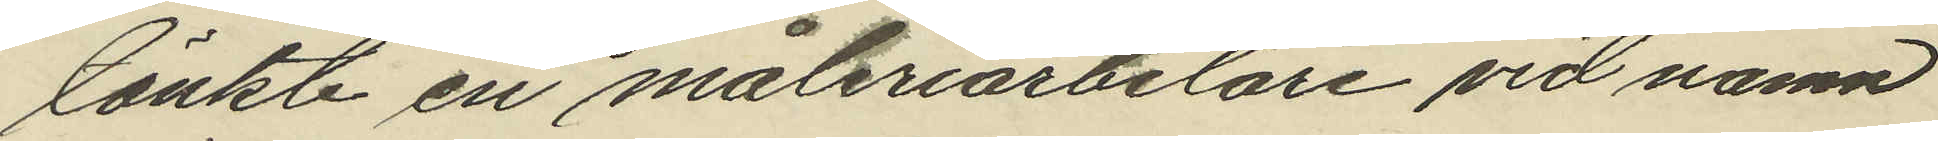tänkte en måteriarbetare vid namn
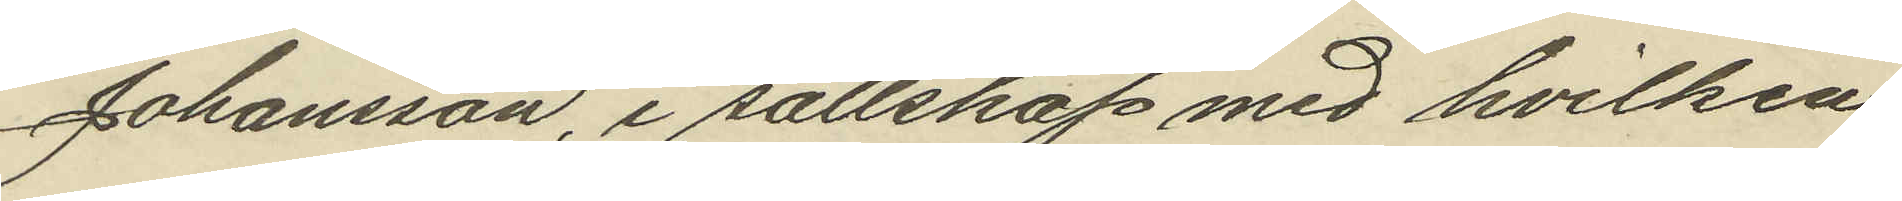Johansson, i sällskap med hvilken
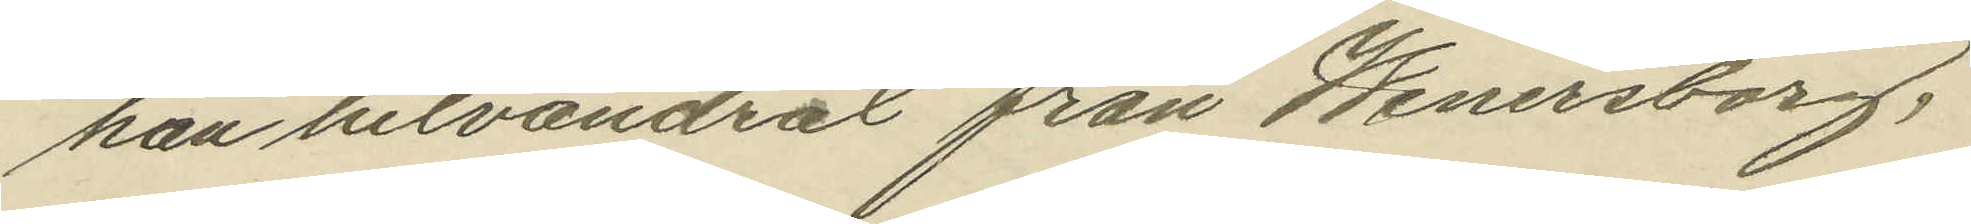han hitvandrat från Wenersborg,
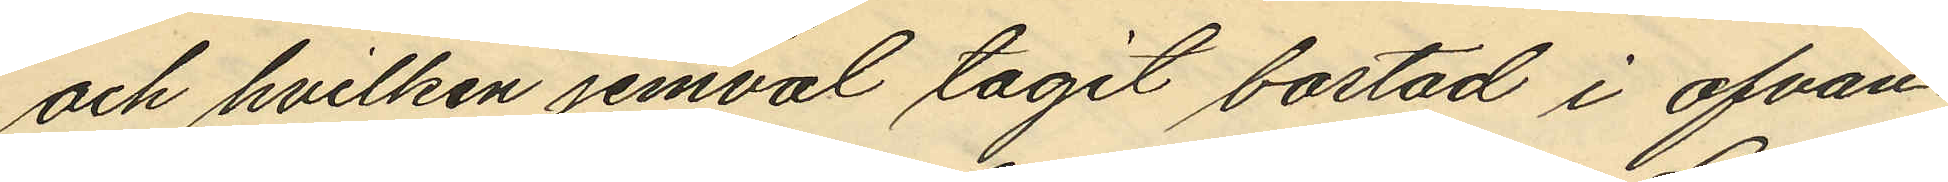och hvilken jemväl tagit bostad i ofvan¬
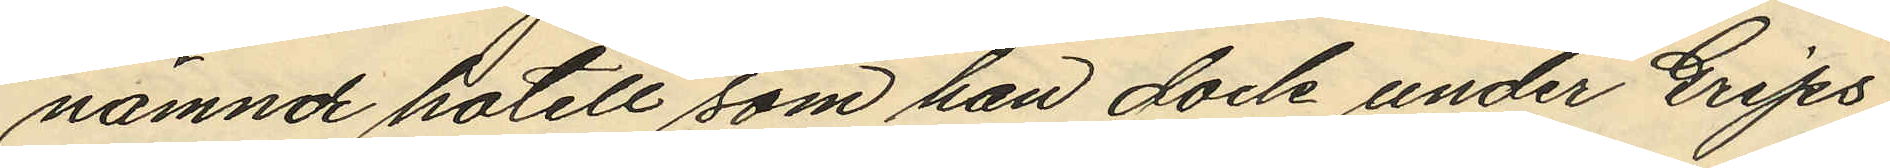nämnde hotell som han dock under Grips
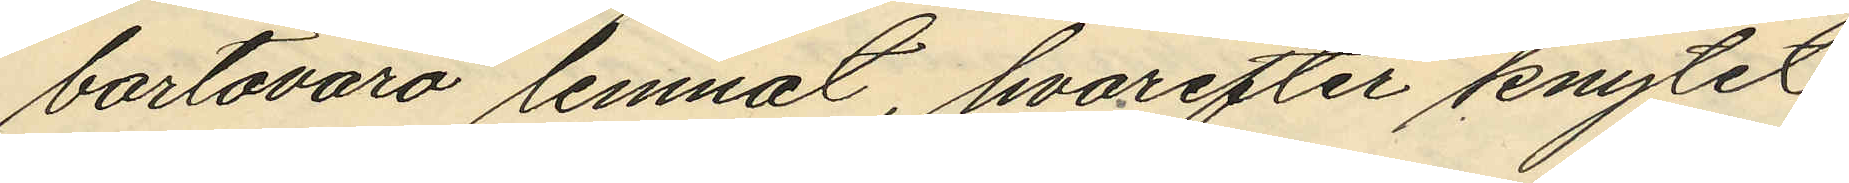bortovaro lemnat, hvarefter knytet
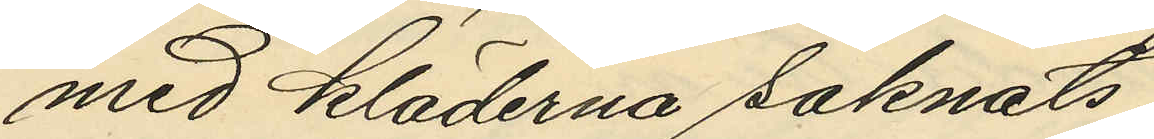med kläderna saknats.
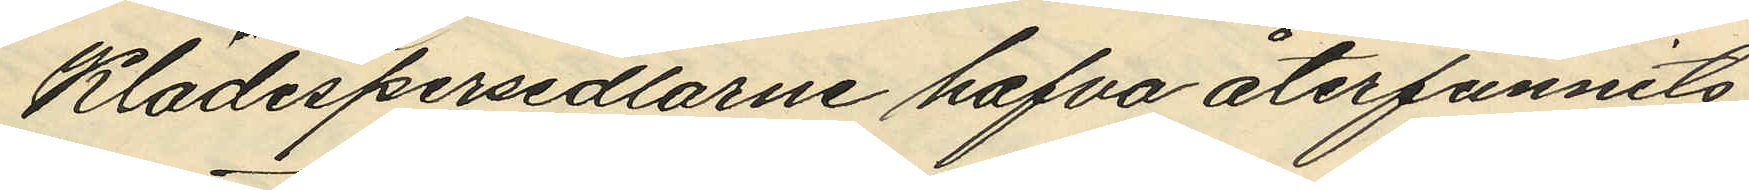Klädespersedlarne hafva återfunnits
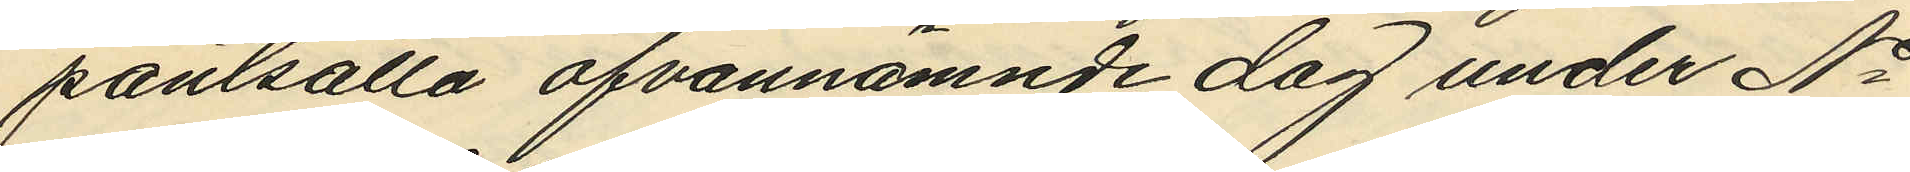pantsatta ofvannämnde dag under No
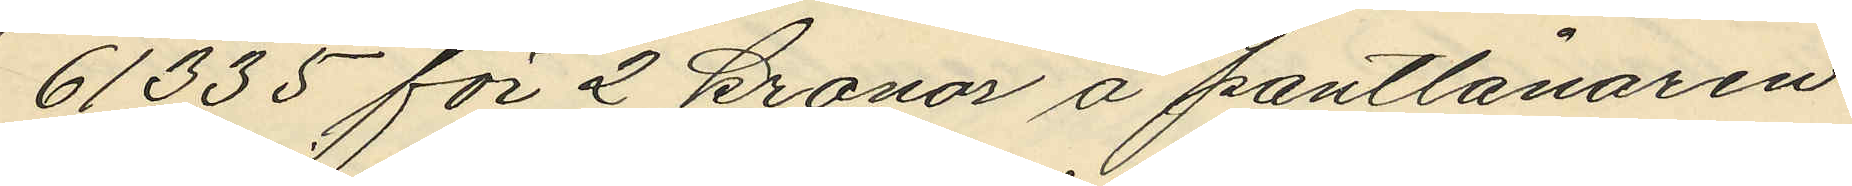61335 för 2 kronor å pantlånaren
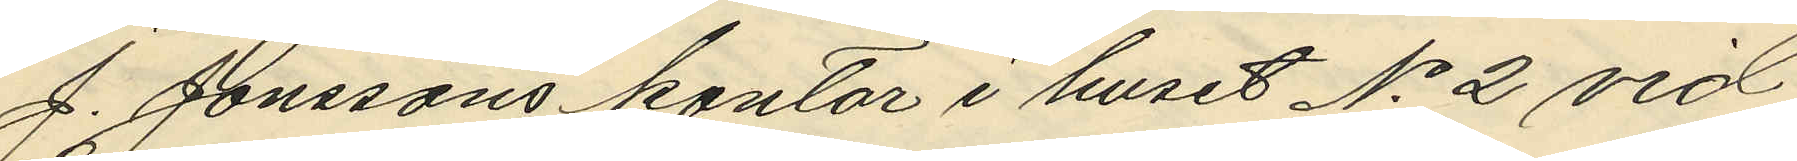J. Jonssons kontor i huset No 2 vid
